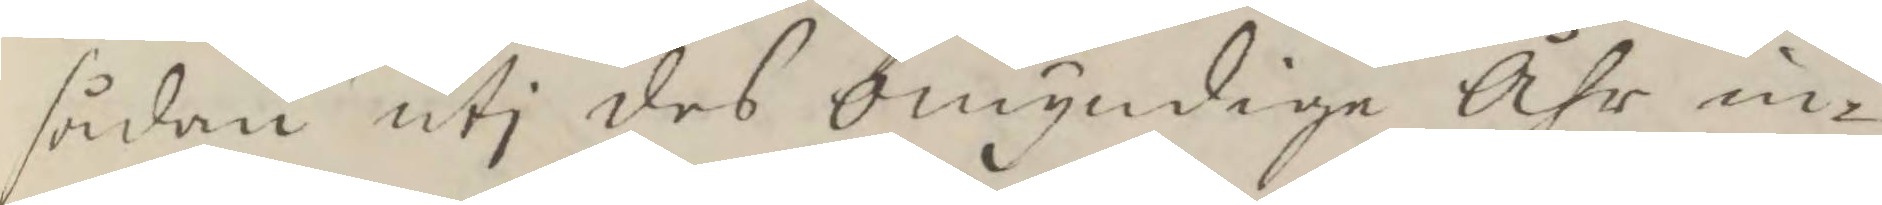sådan uti des omyndige Åhr in¬
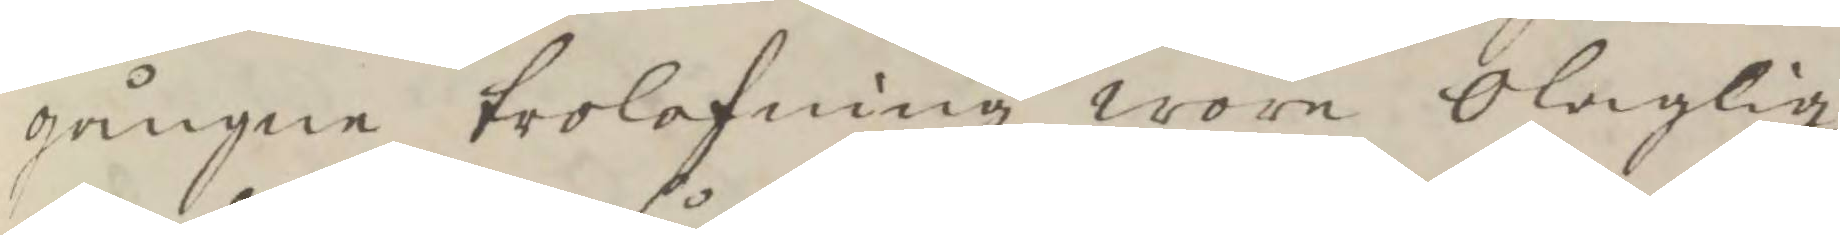gångne trolofning woro olaglig,
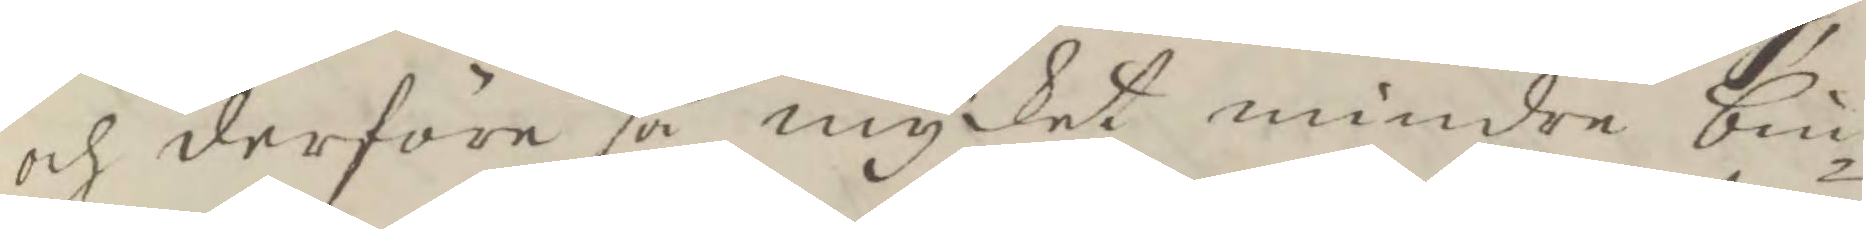och derföre så mycket mindre bin¬
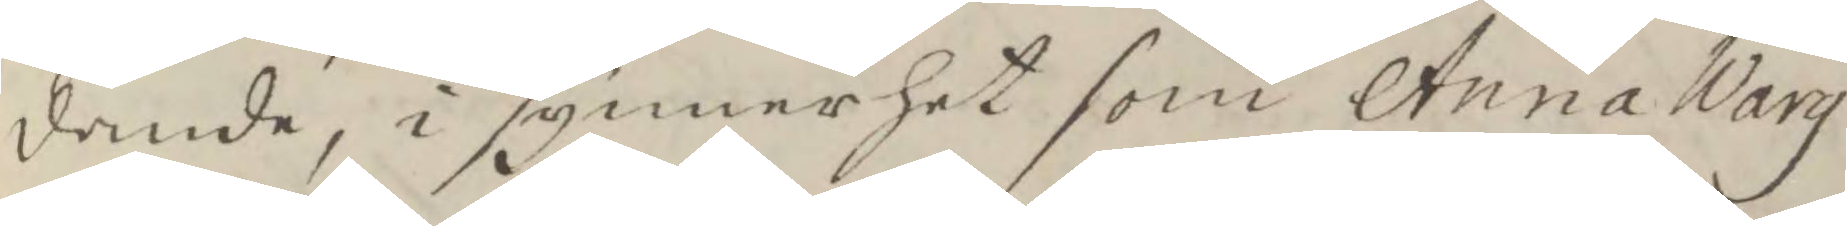dande, i synnerhet som Anna Warg
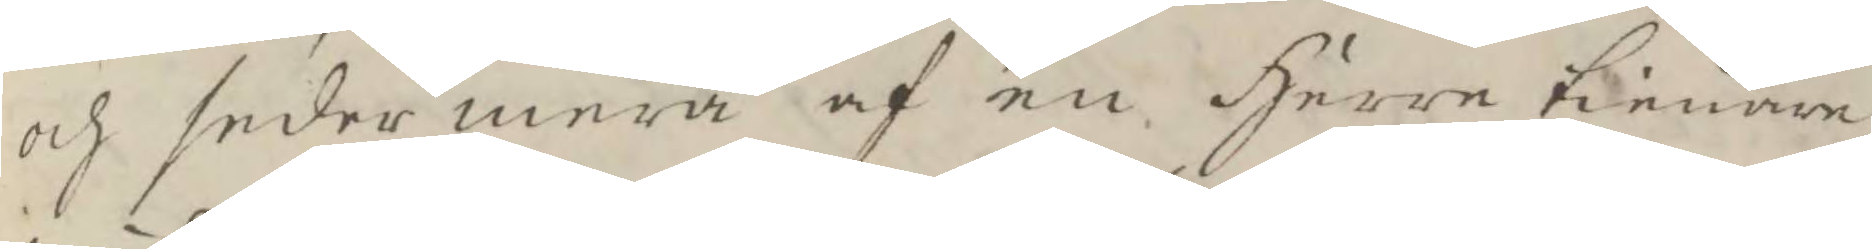och seder mera af en Herre tienare
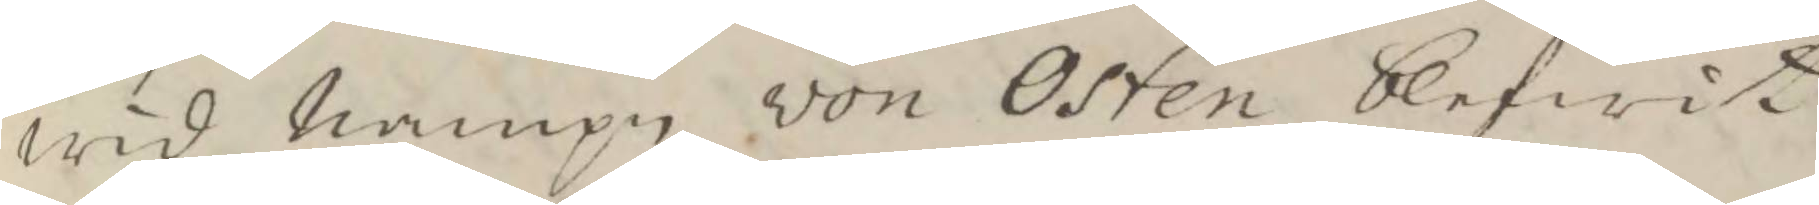wid nampn von Osten blifwit
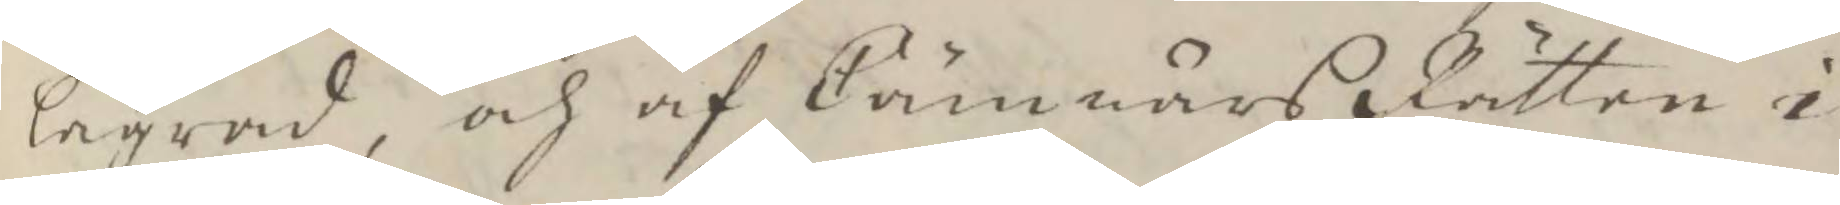lägrad, och af Cämnärs Rätten i
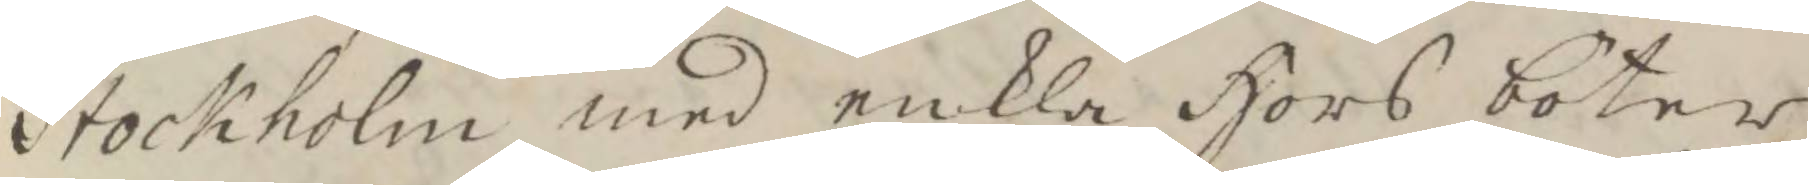Stockholm med enkla Hors böter
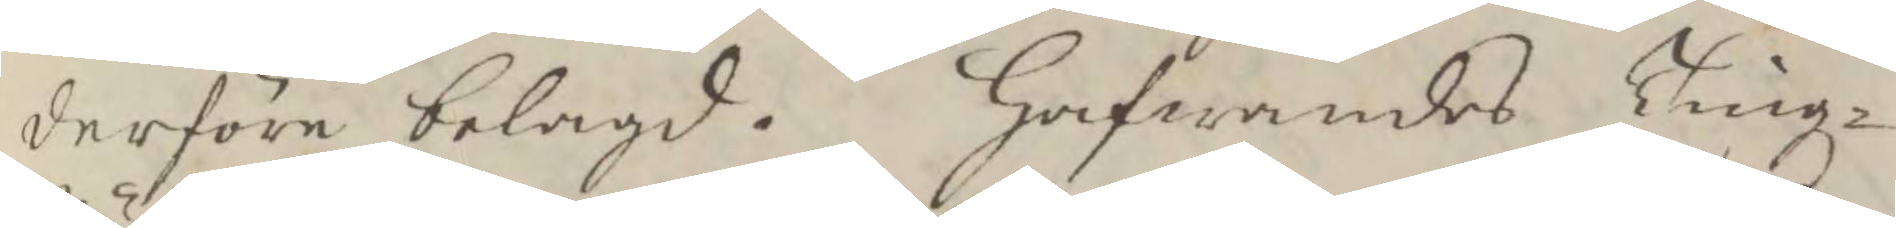derföre belagd. Hafwandes Tingz¬
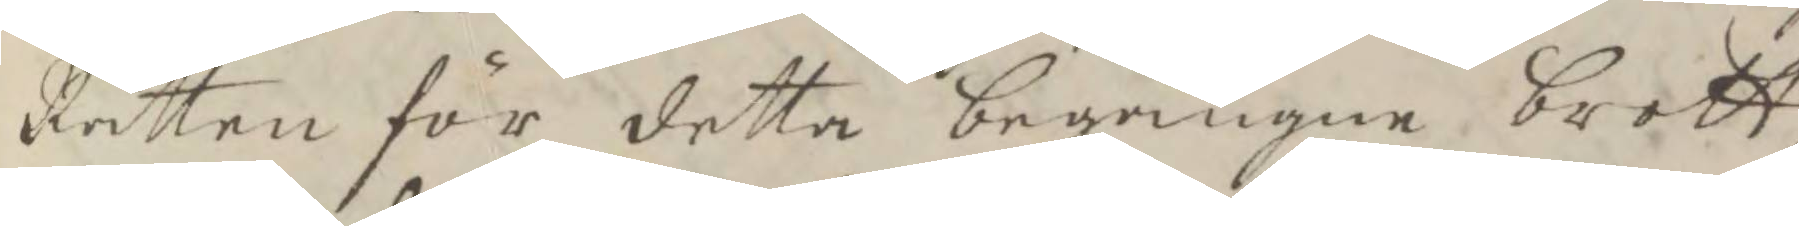Rätten för detta begångne brott,
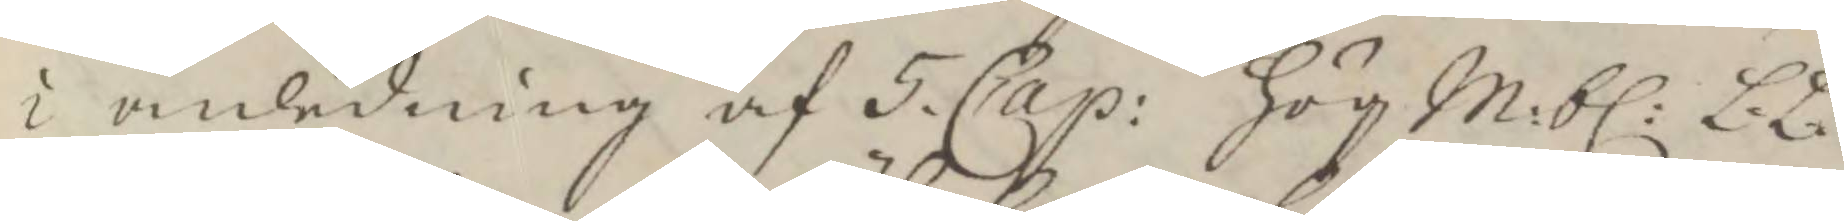i anledning af 5 Cap: HögM:bl:L.L.
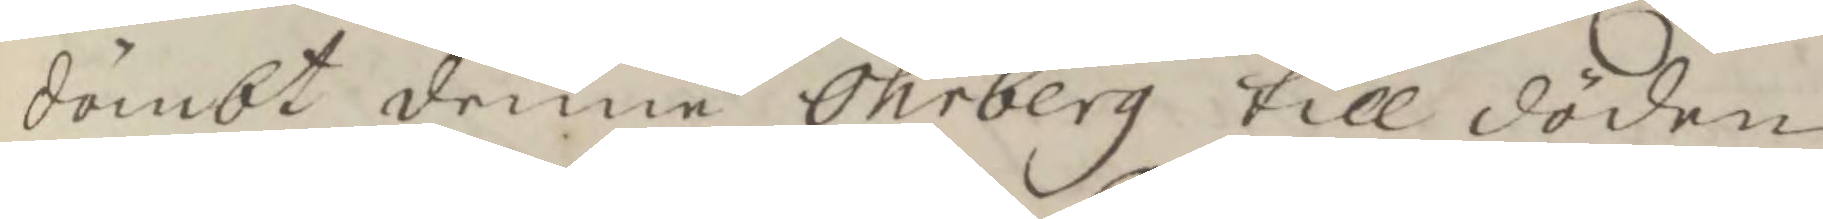dömbt denne Öhrberg till döden,
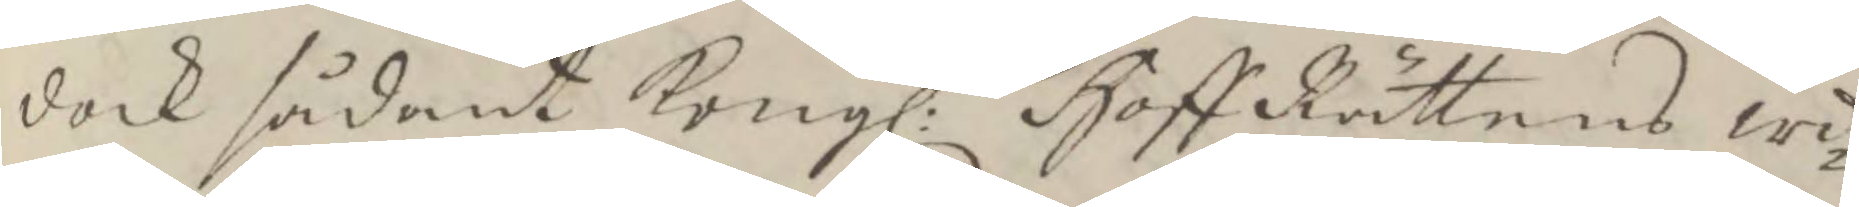dock sådant Kongl: Hoff Rättens wi¬
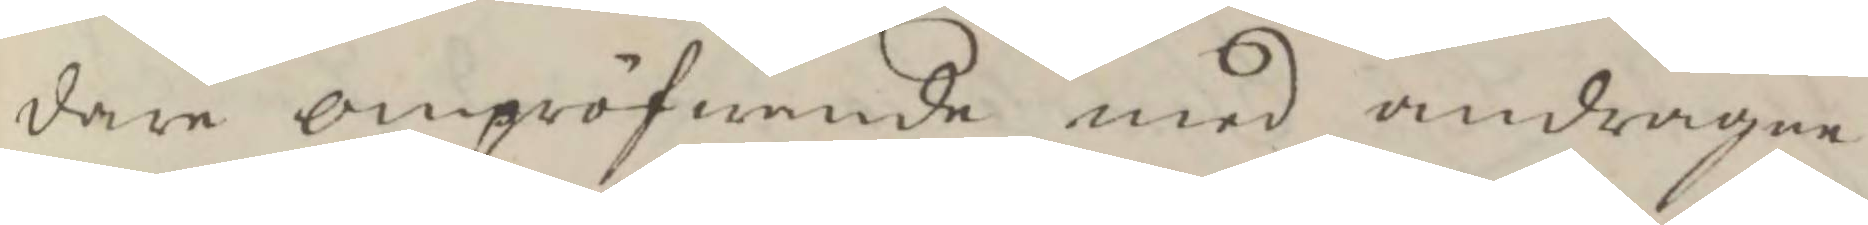dare ompröfwande med andragne
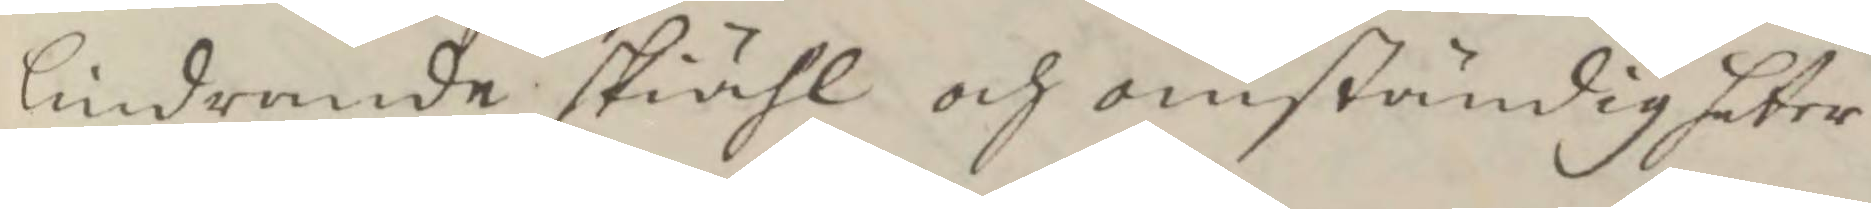lindrande skiähl och omständigheter
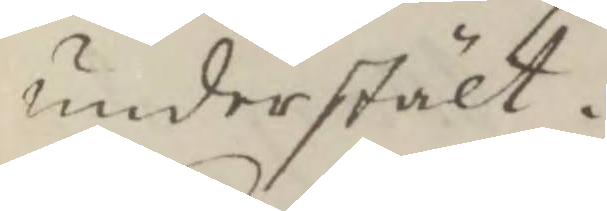understält.
